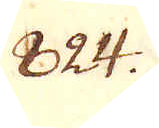824.
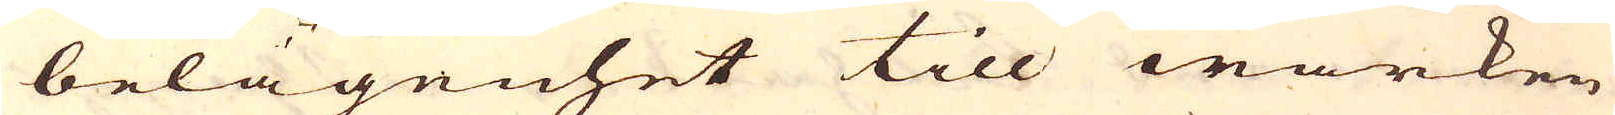belägenhet till wärken
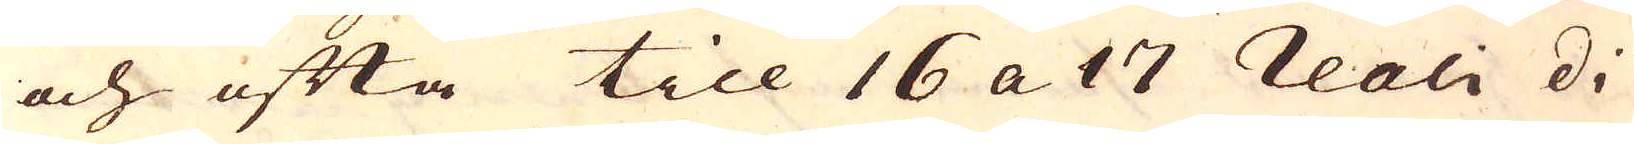och ofta till 16 a 17 reali di
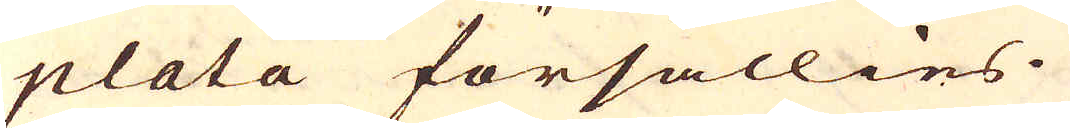plata försällies.
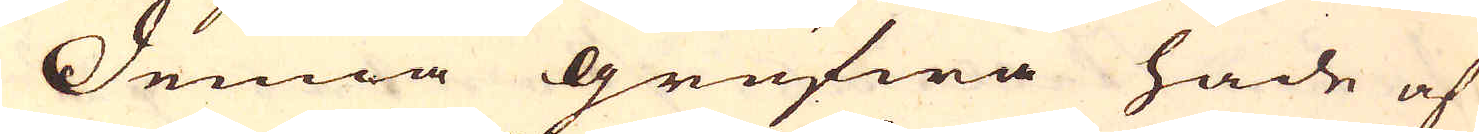Denna grufwa hade af
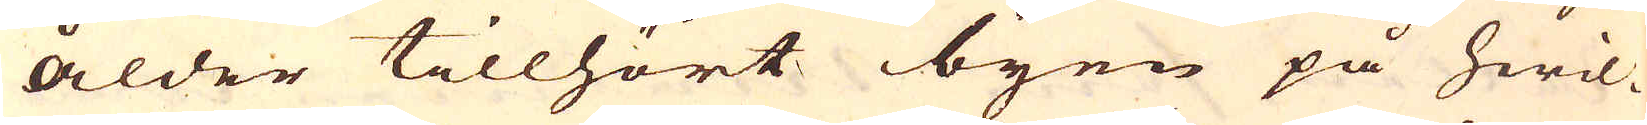ålder tillhört byen på hwil-
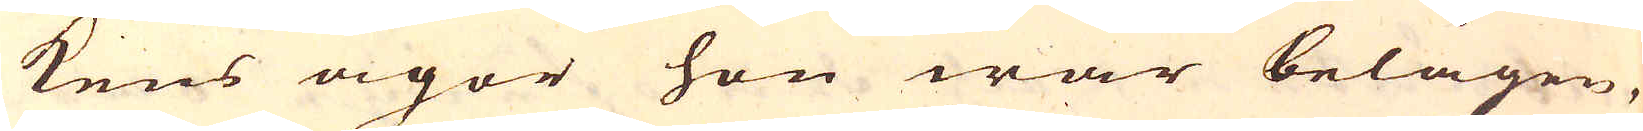kens ägor hon war belägen,
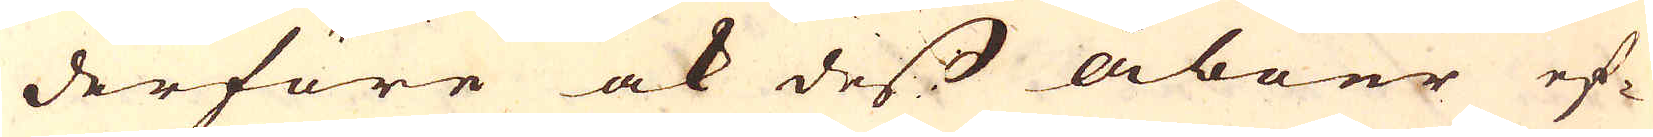derföre ock dess åboer ef-
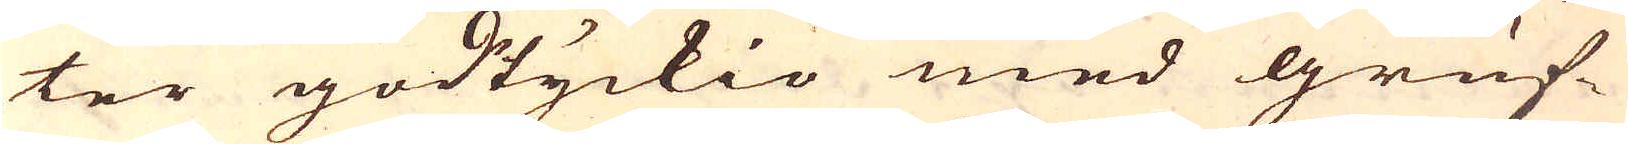ter godtyckio med gruf-
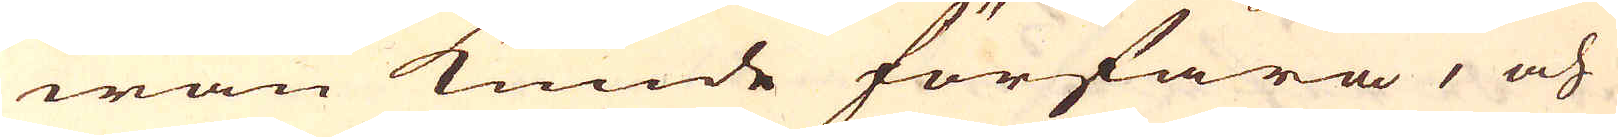wan kunde förfara, och
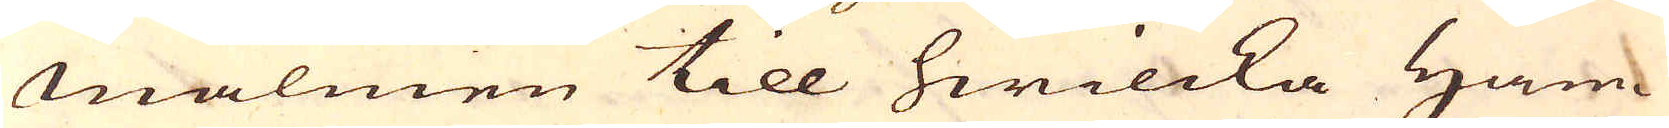malmen till hwilcka Ham-
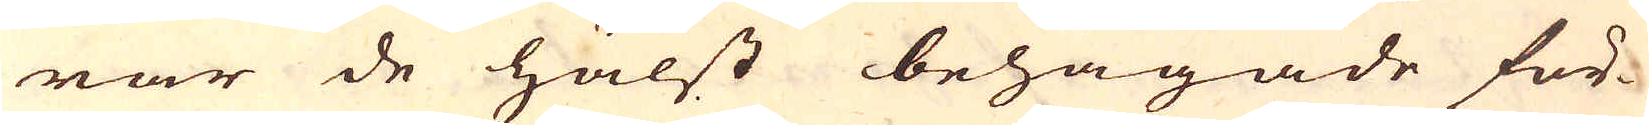rar de hälst behagade för-
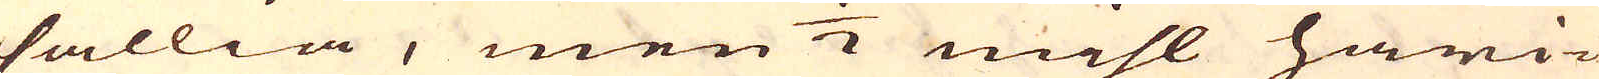sällia, men 1/2 mihl häri-
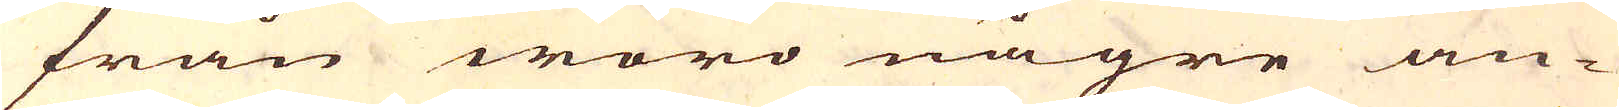från woro någre an-
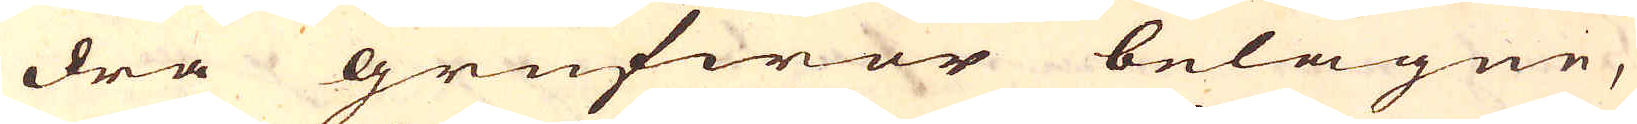dra grufwor belägne,
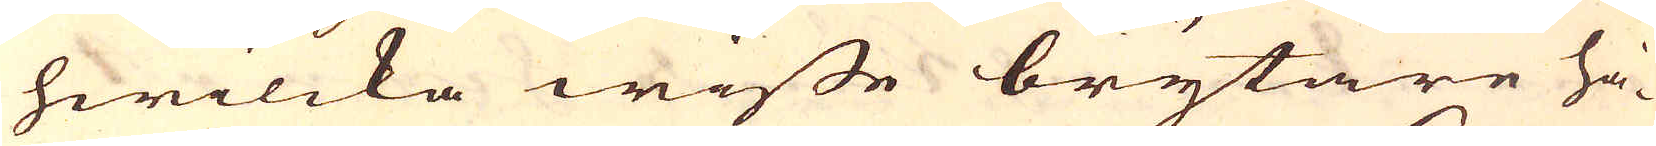hwilcka wisse brytare ha-
